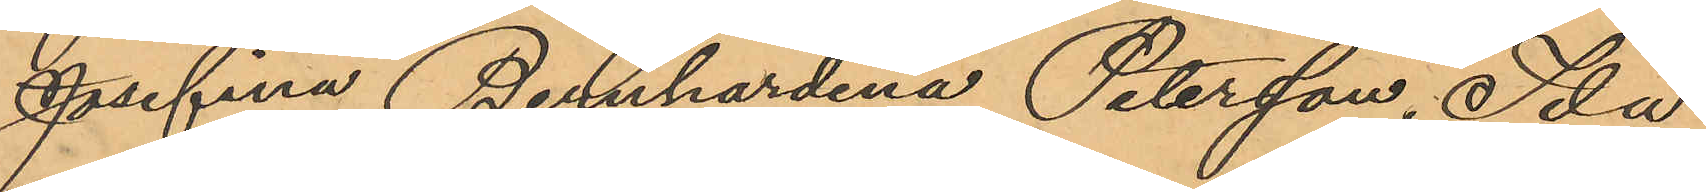Josefina Bernhardina Petersson, Ida
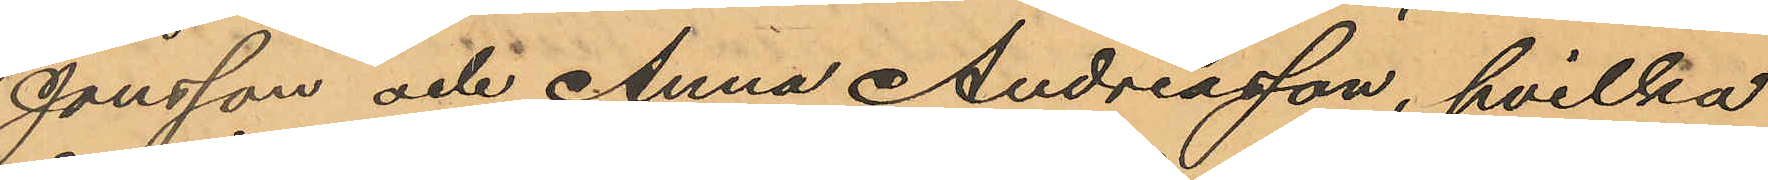Jonsson och Anna Andreasson, hvilka
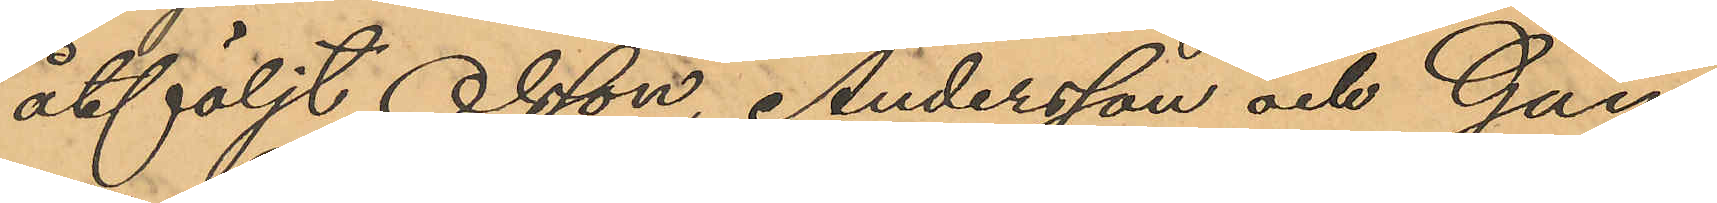åtföljt Olsson, Andersson och Gun¬
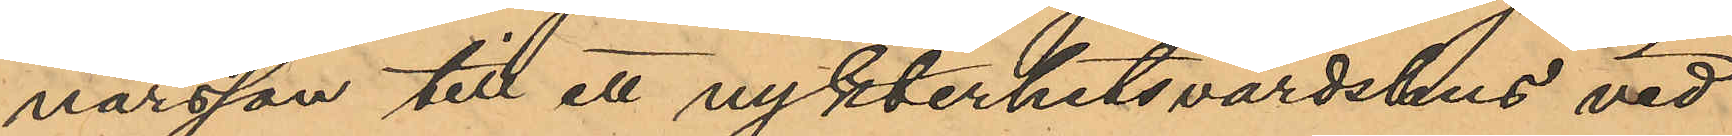narsson till ett nykterhetsvärdshus vid
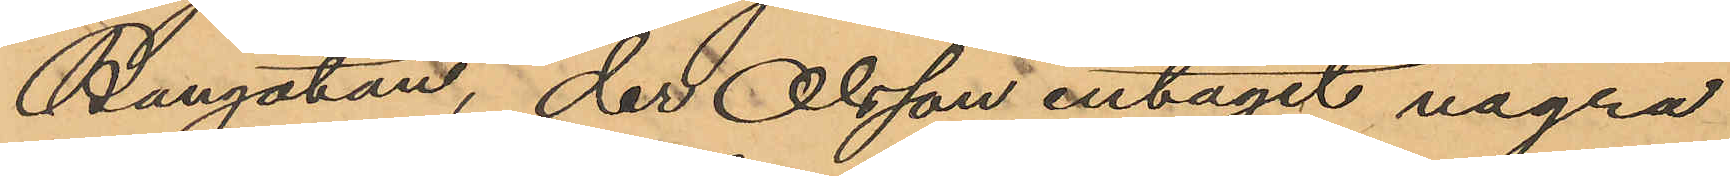Bangatan, der Olsson intagit några
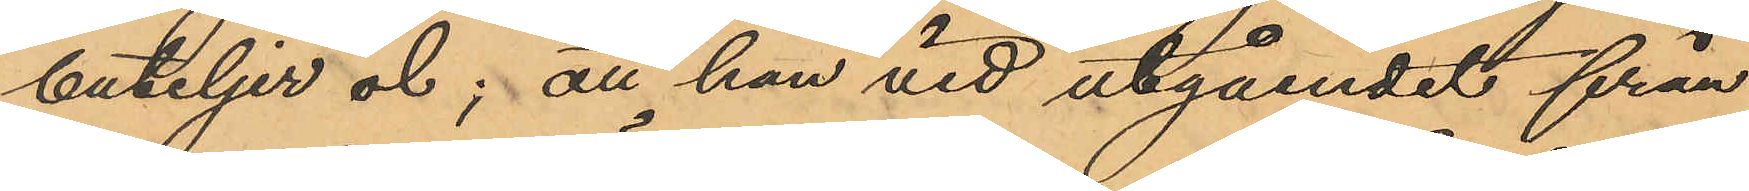buteljer öl; att han vid utgåendet från
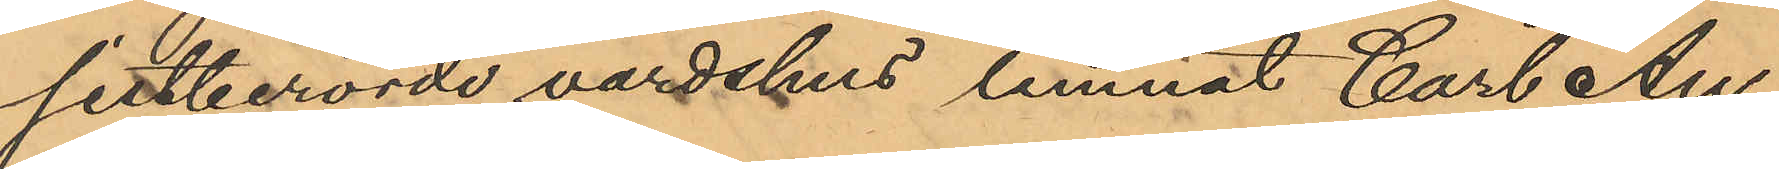sistberörde värdshus lemnat Carl An¬
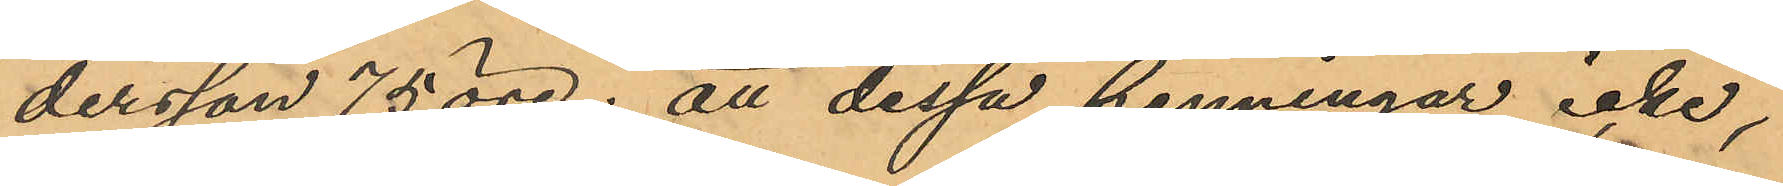dersson 75 öre; att dessa penningar icke,
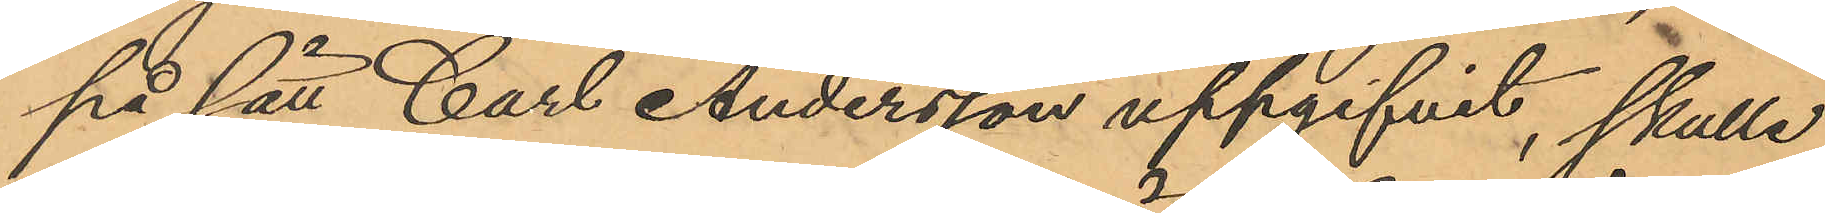på sätt Carl Andersson uppgifvit, skulle
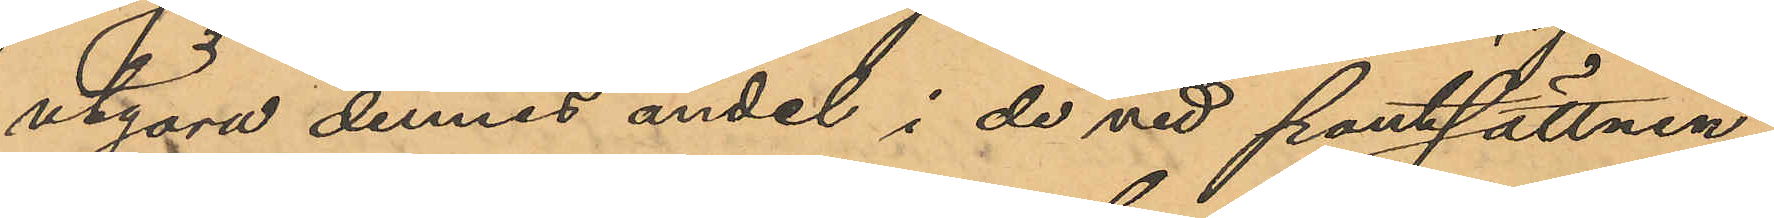utgöra dennes andel i de vid pantsättnin¬
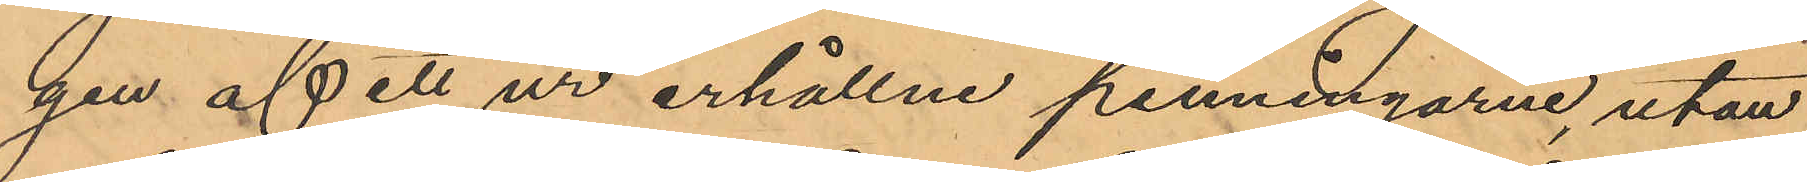gen af ett ur erhållne penningarne, utan
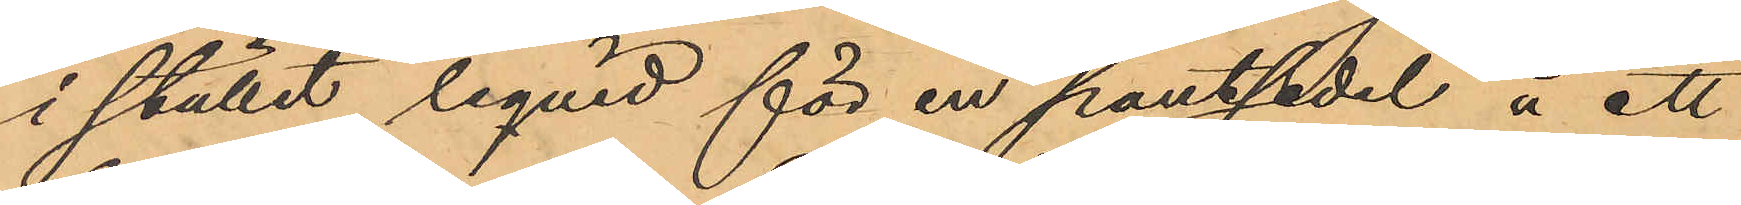i stullet liqvid för en pantsedel å ett
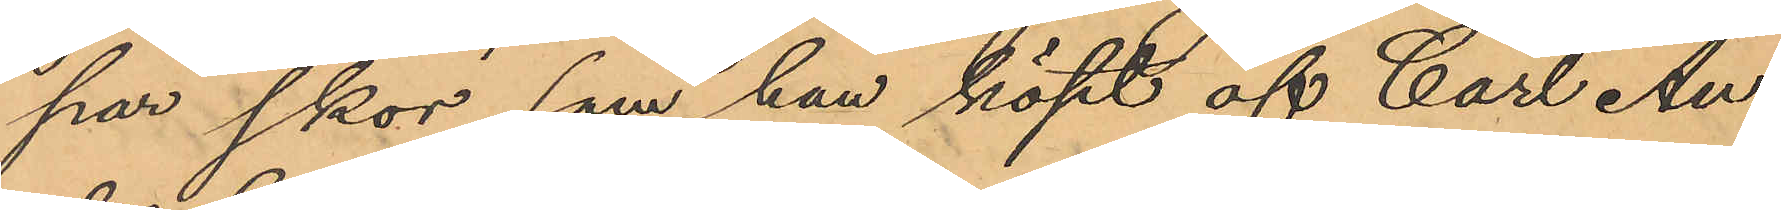par skor, som han köpt af Carl An¬
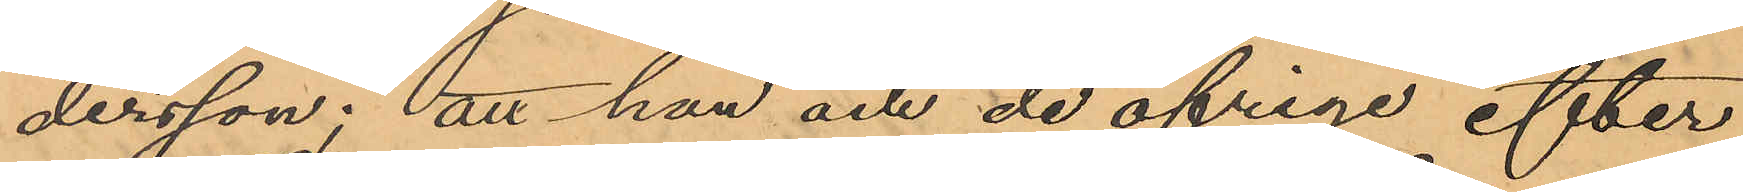dersson; att han och de öfriga efter
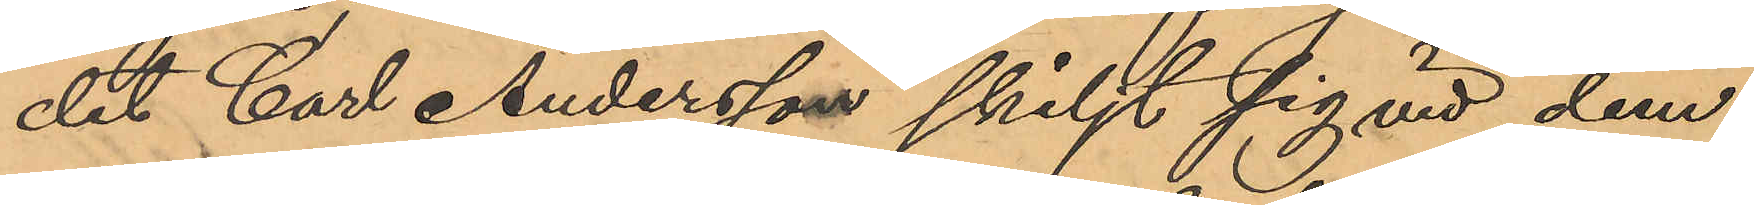det Carl Andersson skiljt sig vid dem
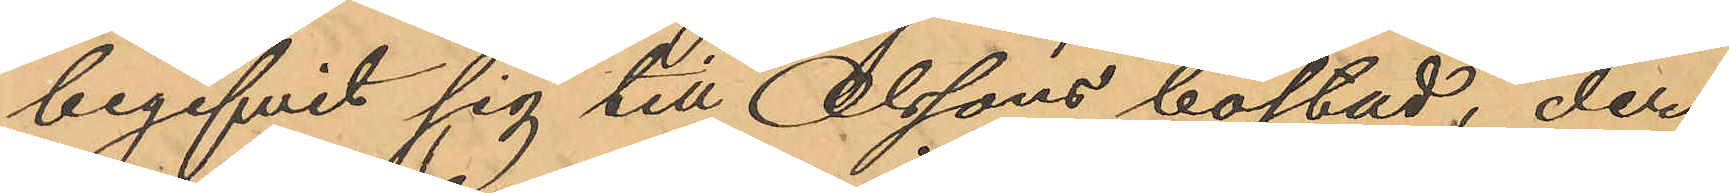begifvit sig till Olssons bostad, der
